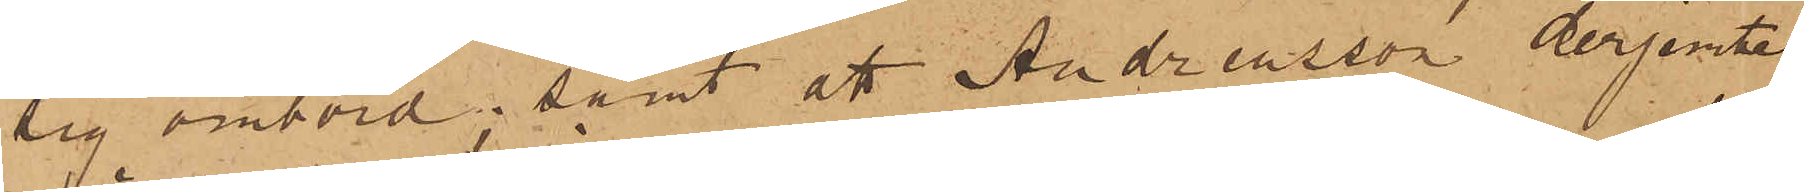sig ombord; samt att Andreasson derjemte
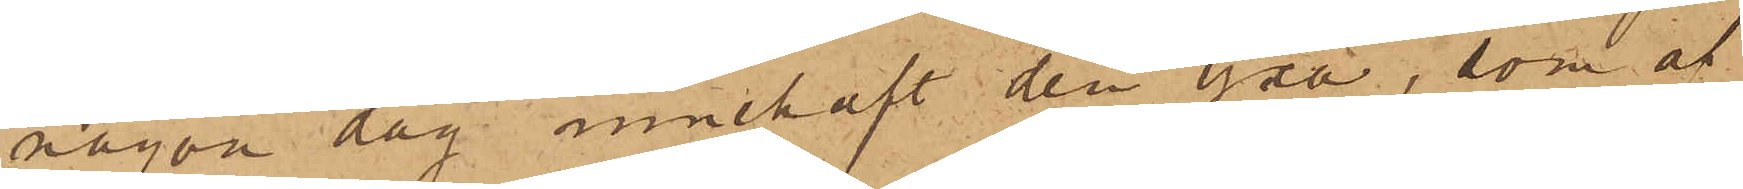någon dag innehaft den yxa, som af
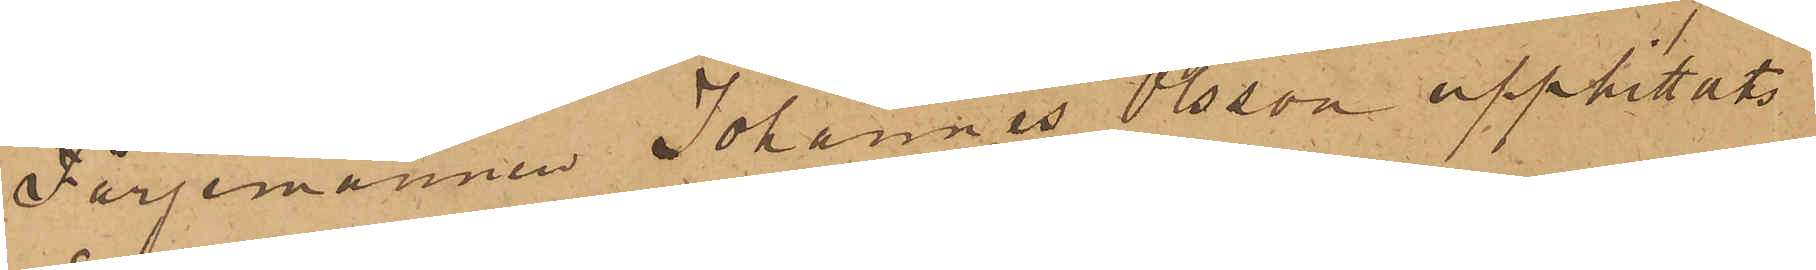Färjemannen Johannes Olsson upphittat
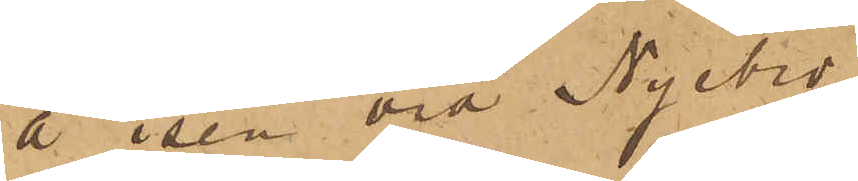å isen vid Nyebro.
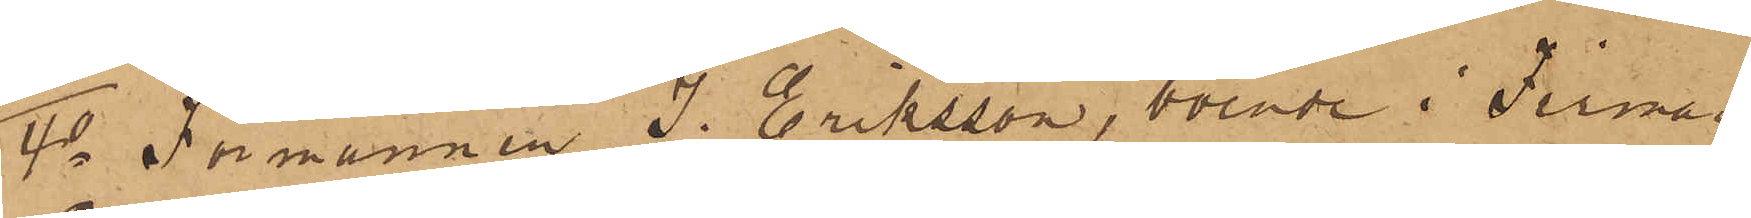4o Förmannen J. Eriksson, boende i Firman
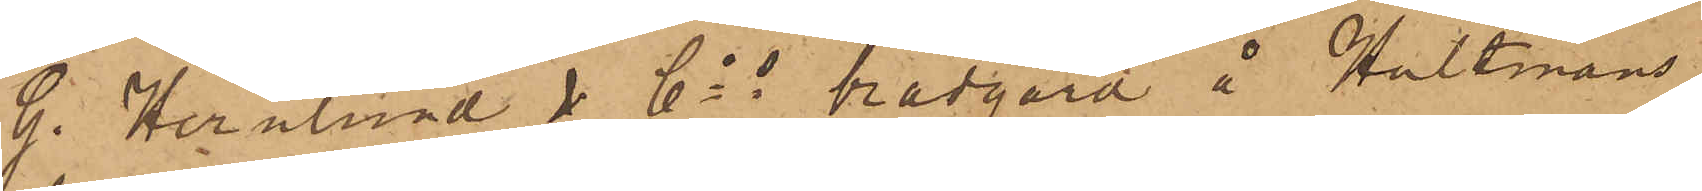G. Hernlund & Cos brädgård å Hultmans
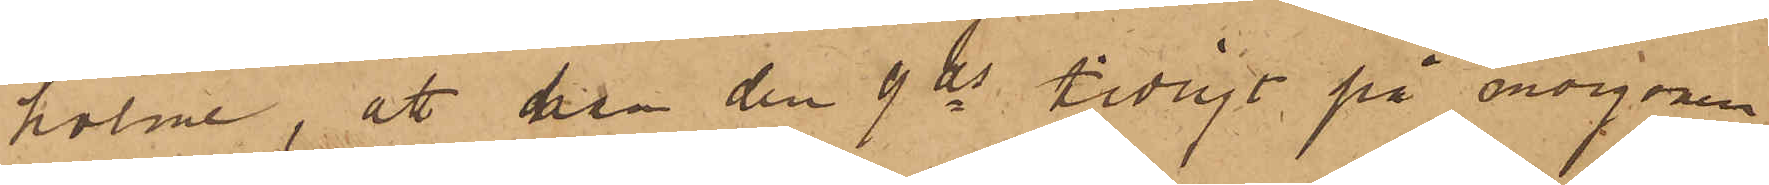holme, att han den 9 ds tidigt på morgonen
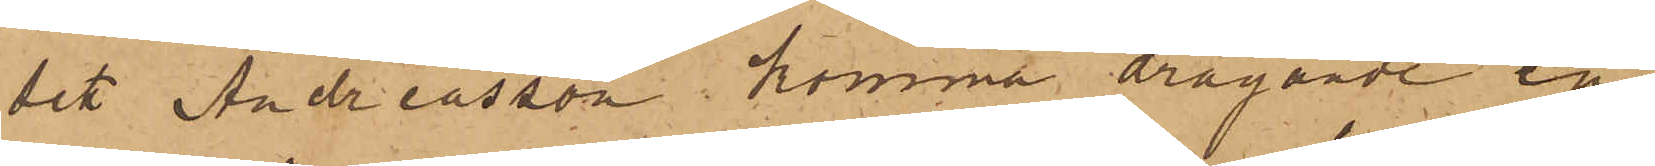sett Andreasson komma dragande en
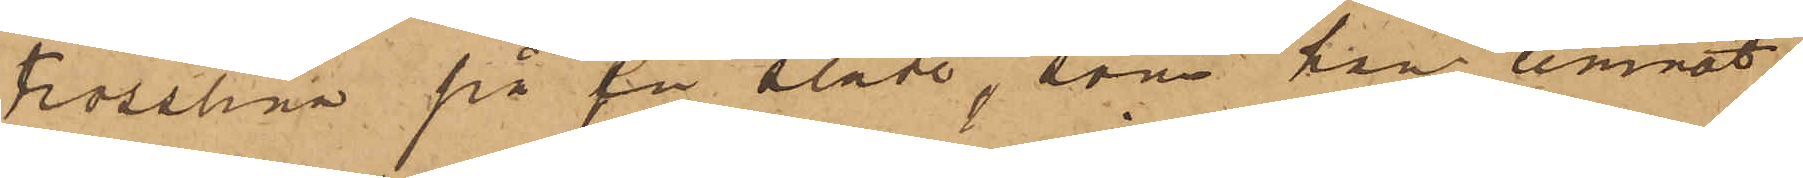trosslina på en släde, som han lemnat
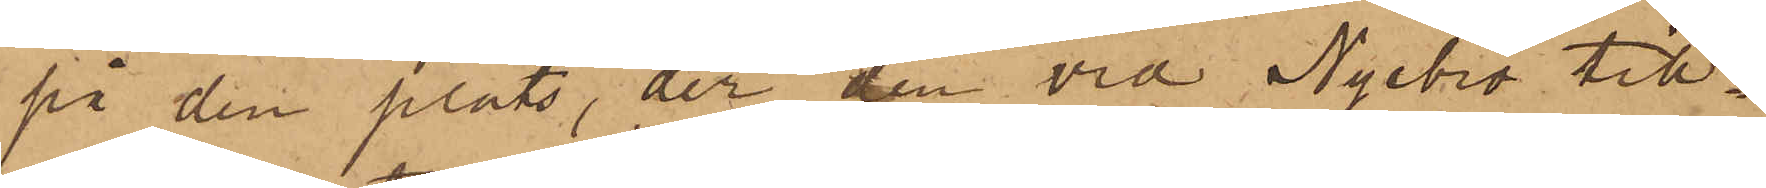på den plats, der den vid Nyebro till¬
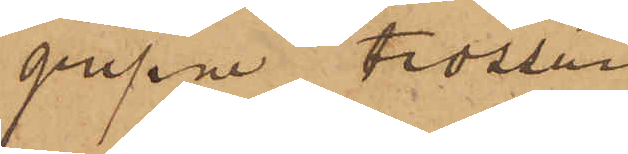gripne trossen
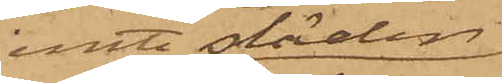jemte släden
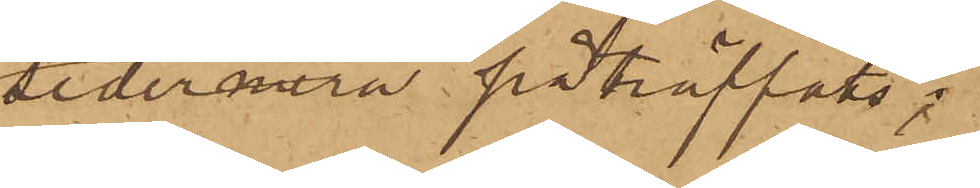sedermera påträffats;
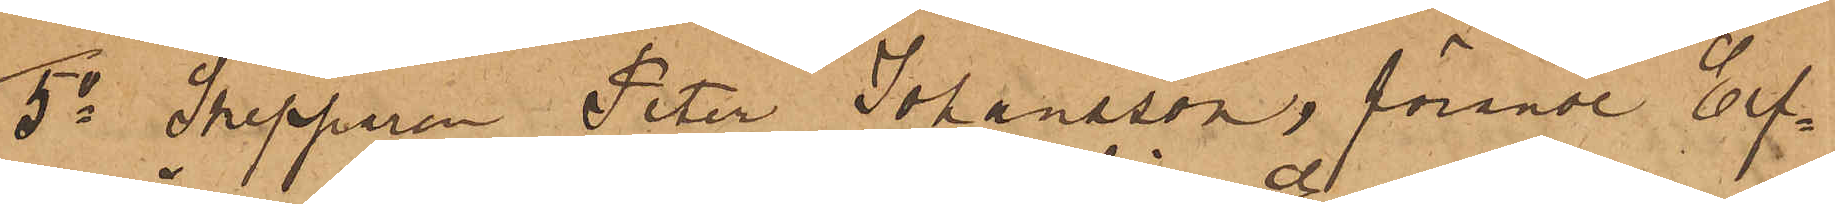5o Skepparen Peter Johansson, förande Elf¬
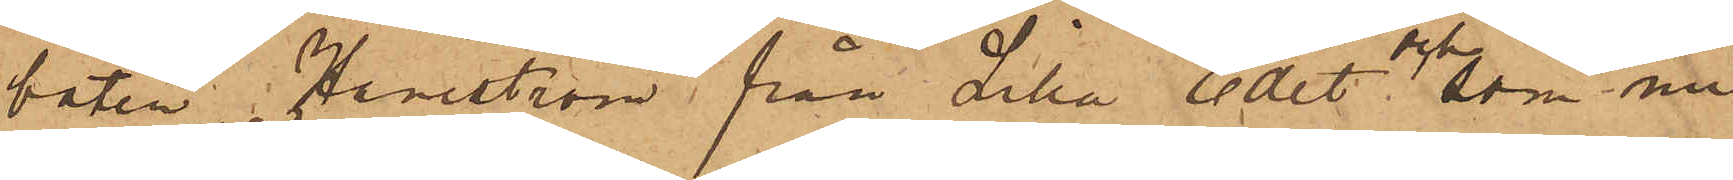båten Haneström från Lilla Edet  och som nu
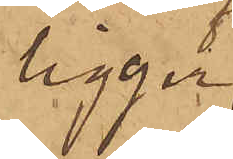ligger
